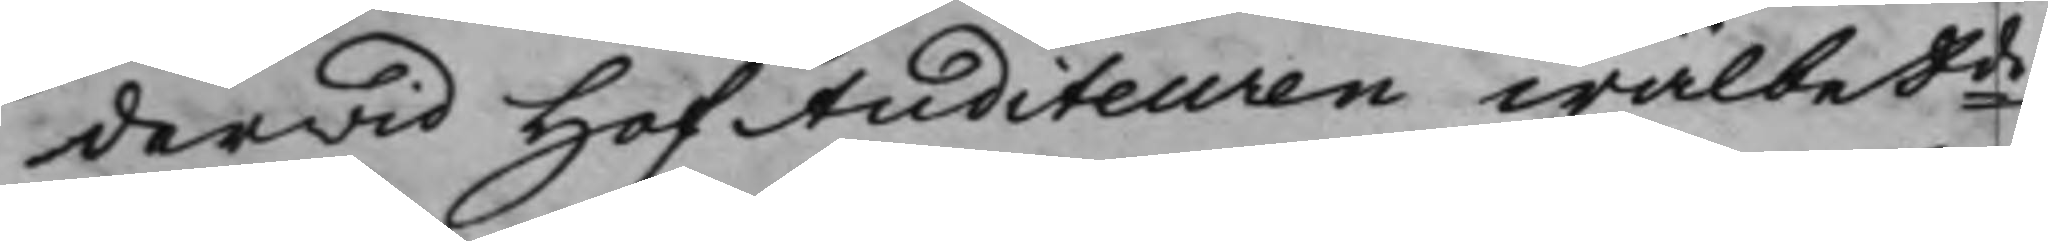derwid HofAuditeuren wälbetde
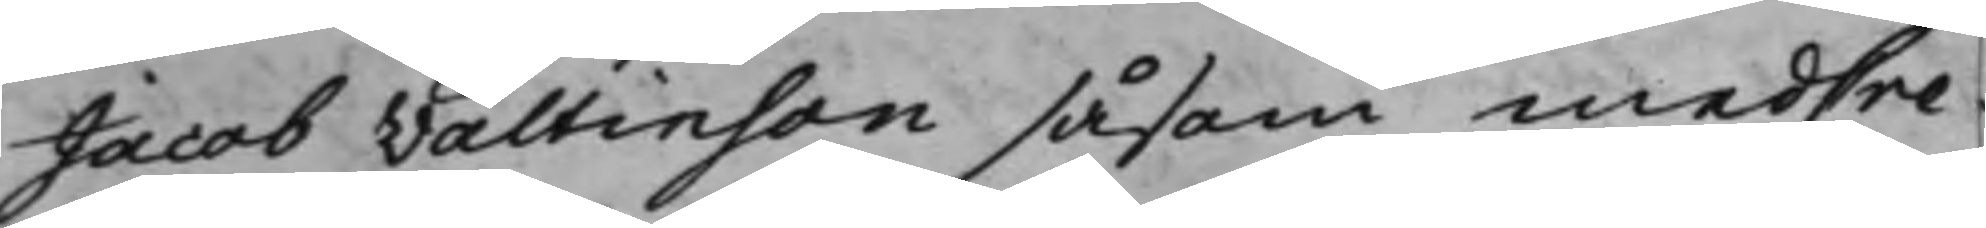Jacob Valtinson såsom medCre¬
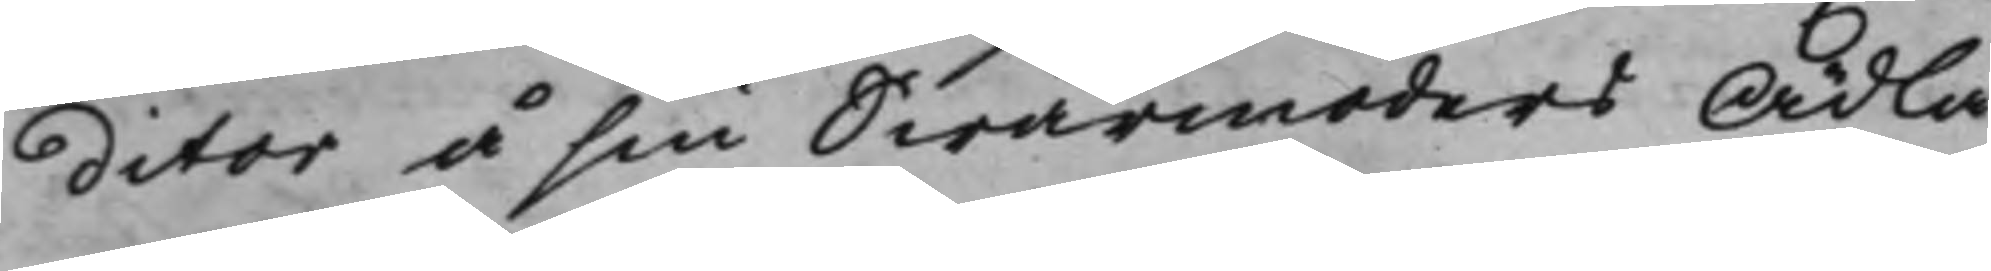ditor å sin Swärmoders Ädla
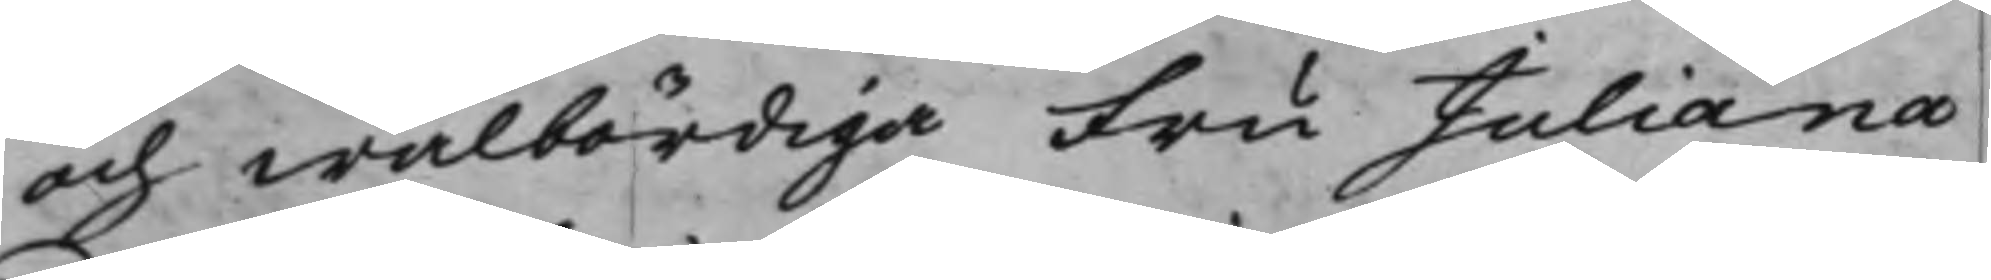och wälbördiga Fru Juliana
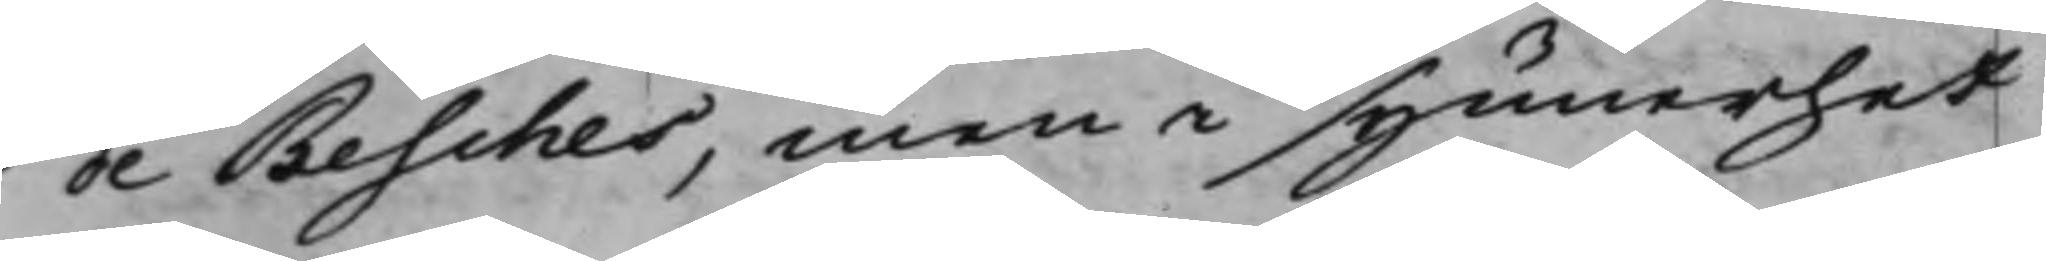de Besches, men i synnerhet
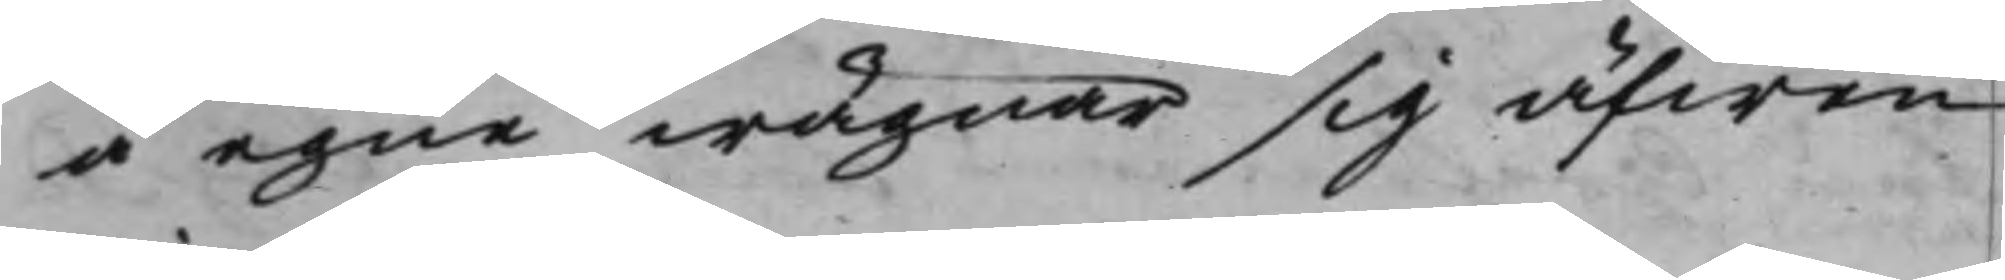å egne wägnar sig äfwen
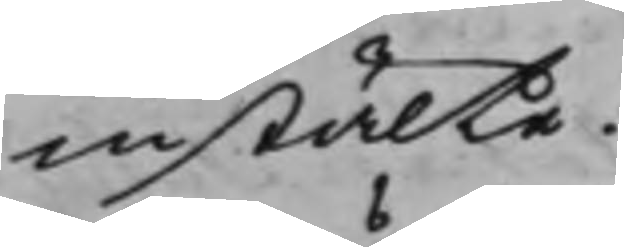instälte.
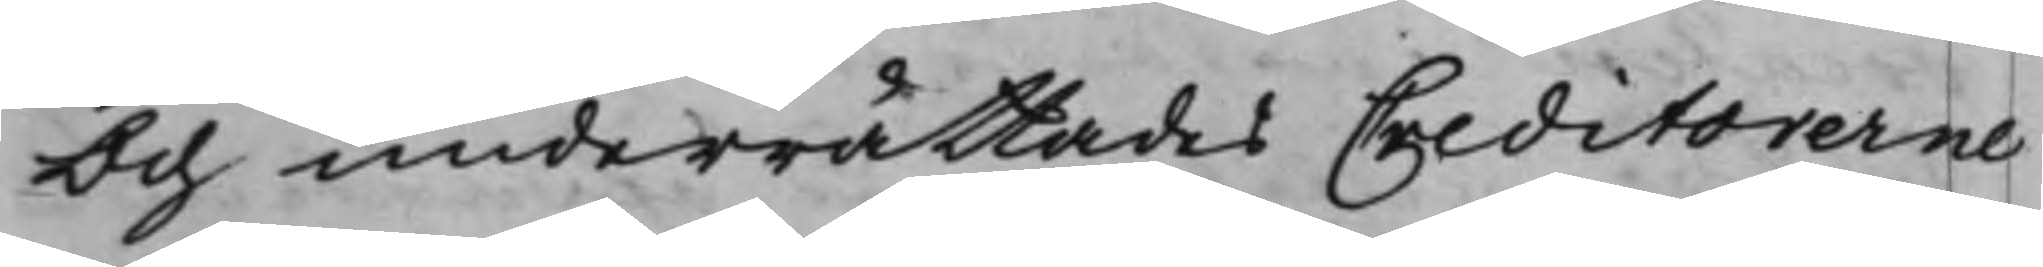Och underrättades Creditorerne
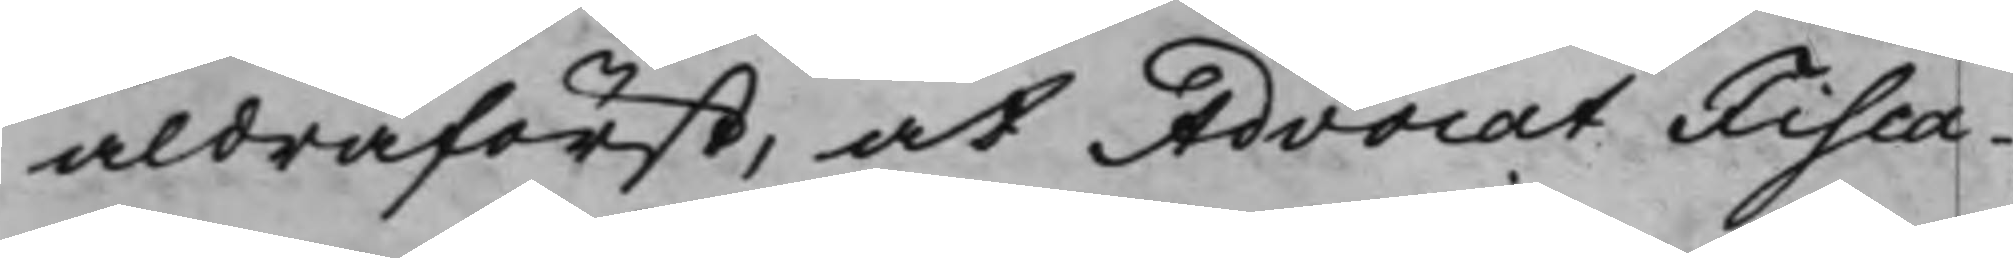aldraförst, at Advocat Fisca¬
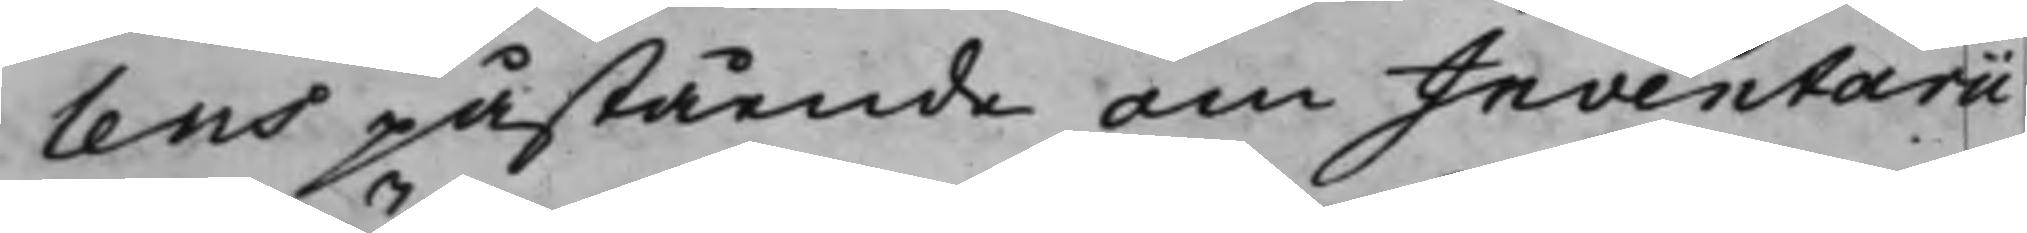lens påstående om Inventarii
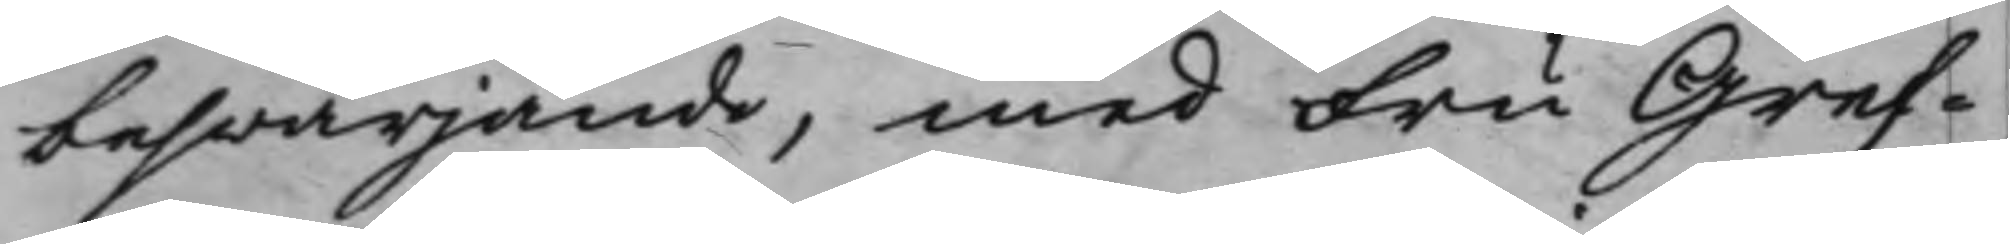beswärjande, med Fru Gref¬
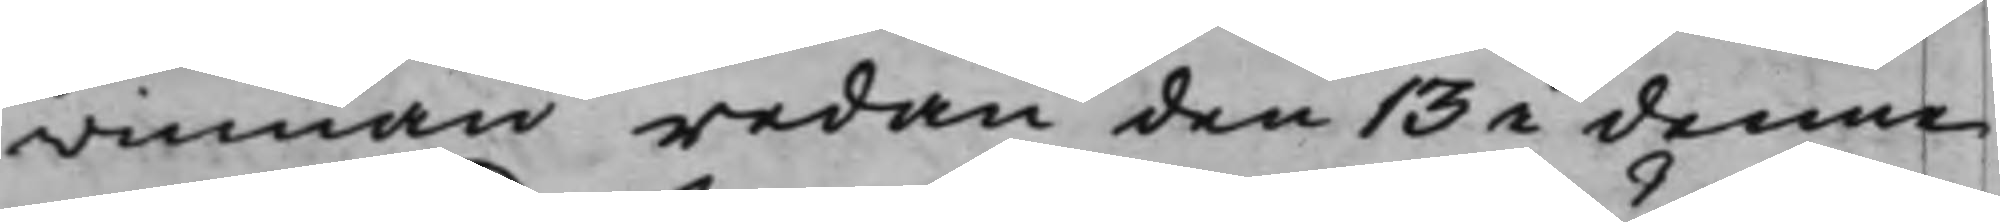winnan redan den 13 i denne
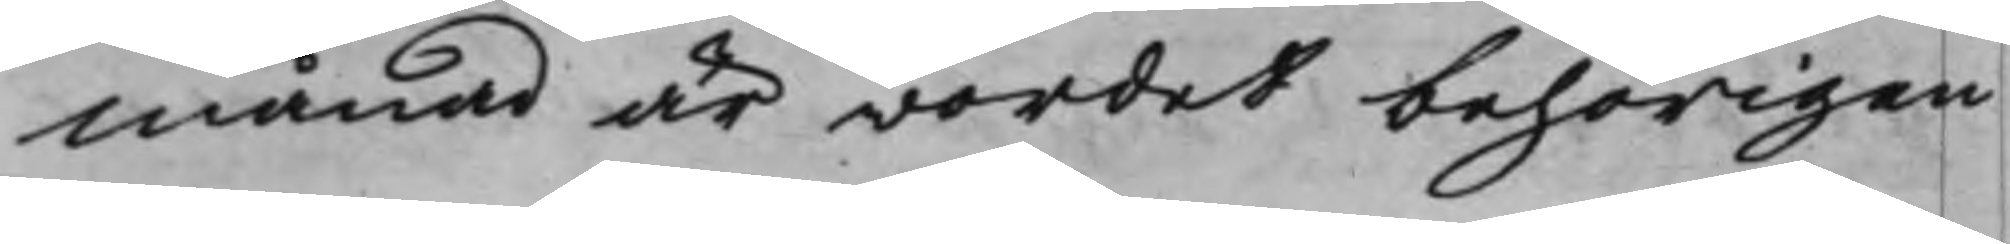Månad är wordet behörigen
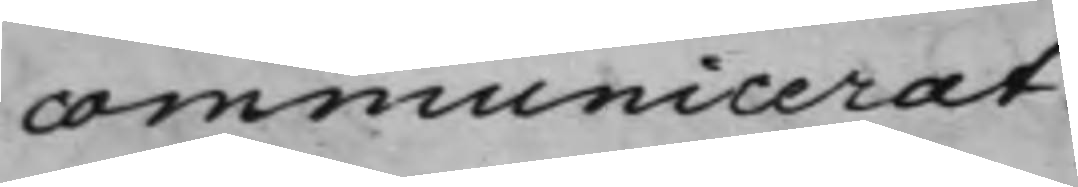communicerat.
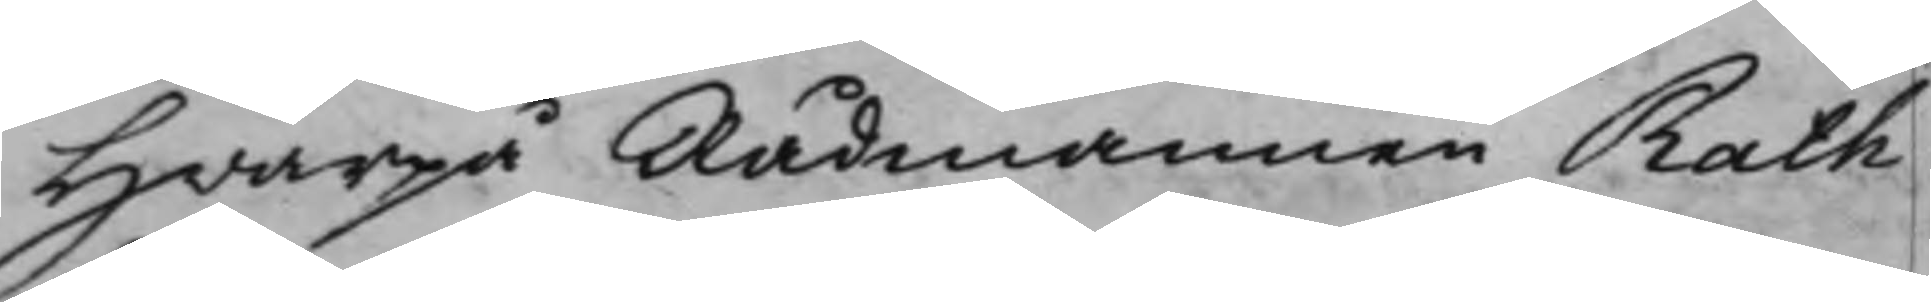Hwarpå Rådmannen Rath
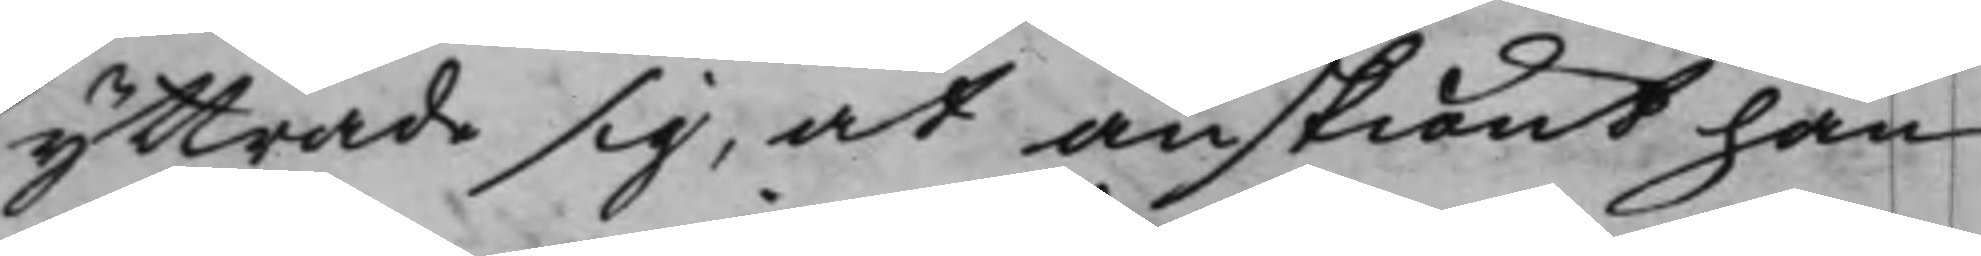yttrade sig, at änskiönt han
